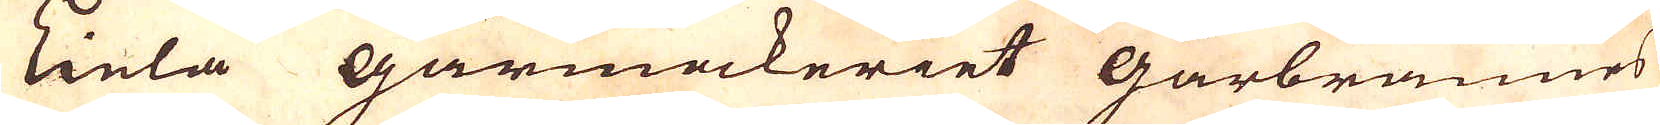Liela Gårmakeriet gårbrännes
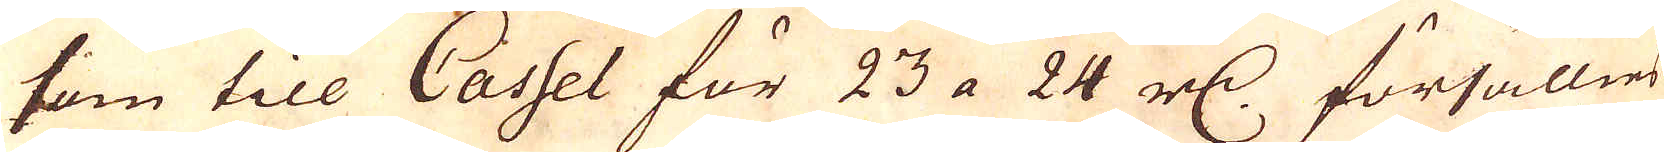som till Cassel för 23 a 24 r:dr försällies
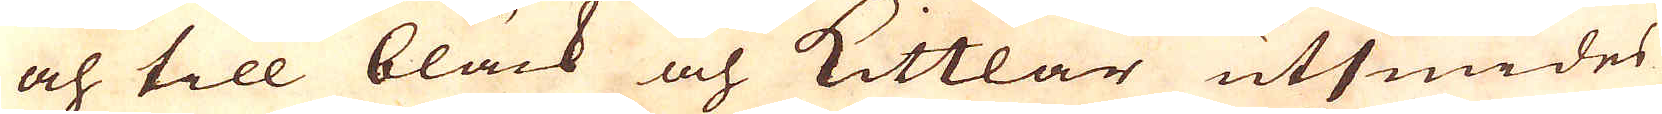och till bläck och Kittlar utsmides
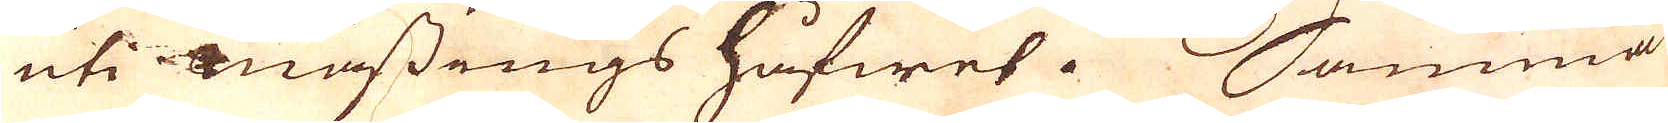uti mässings håfwet. Samma
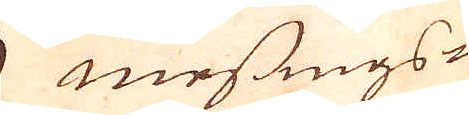Mässings-
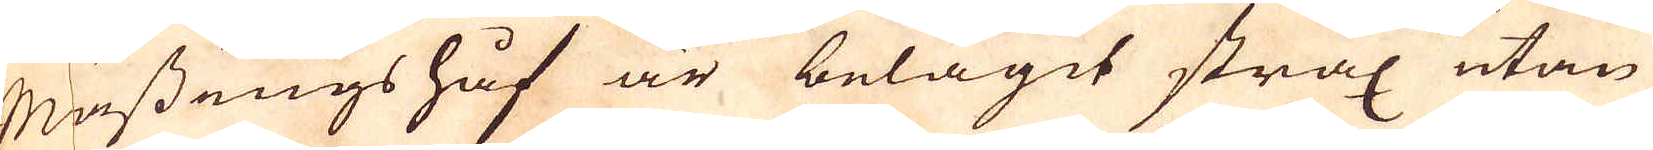Mässings håf är belägit strax utan
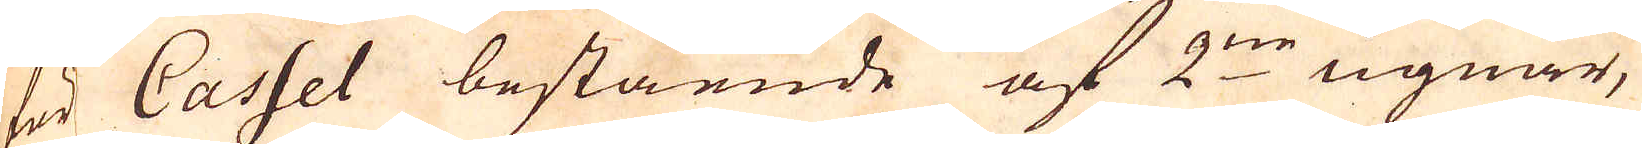för Cassel bestående af 2:ne ugnar,
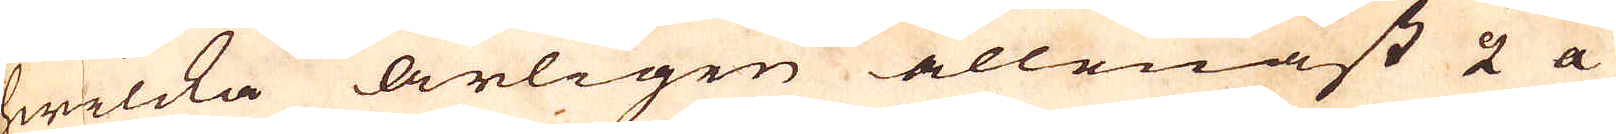hwilcka årligen allenast 2 a
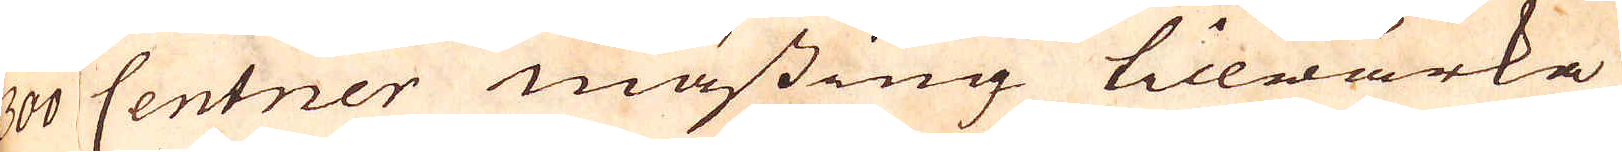300 Centner mässing tillwärka
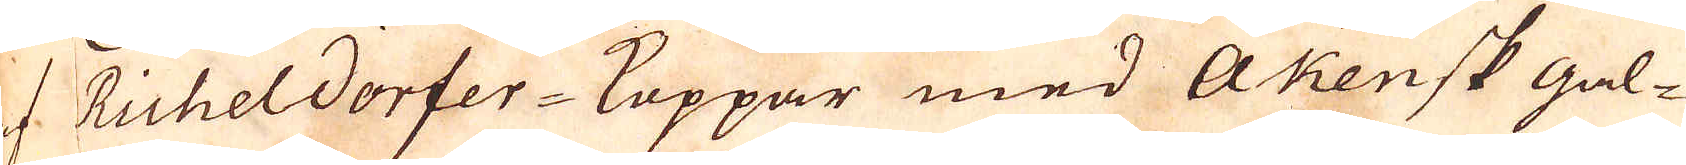af Ruheldorfer-Koppar med Akensk gal-
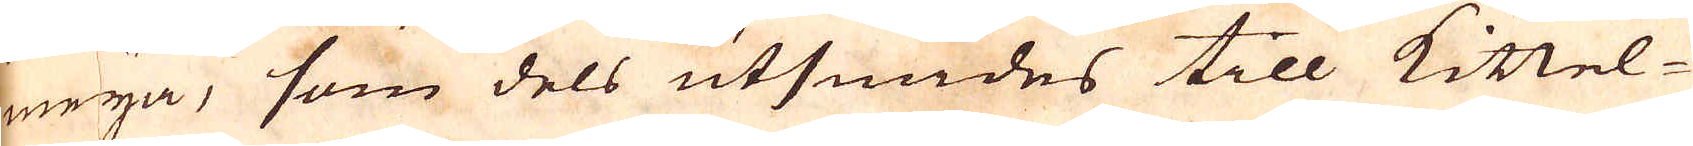meija, som dels utsmides till Kittel-
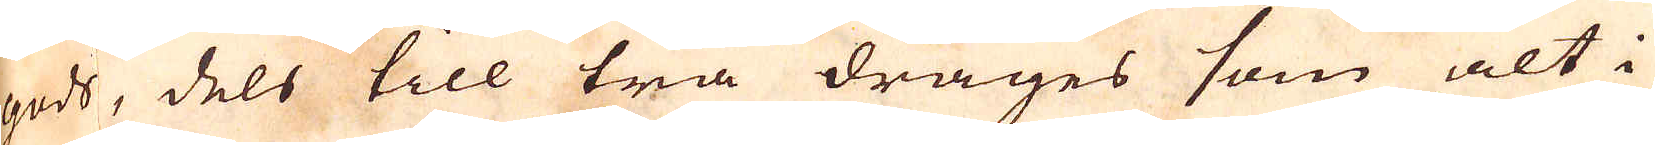gods, dels till trå drages som alt i
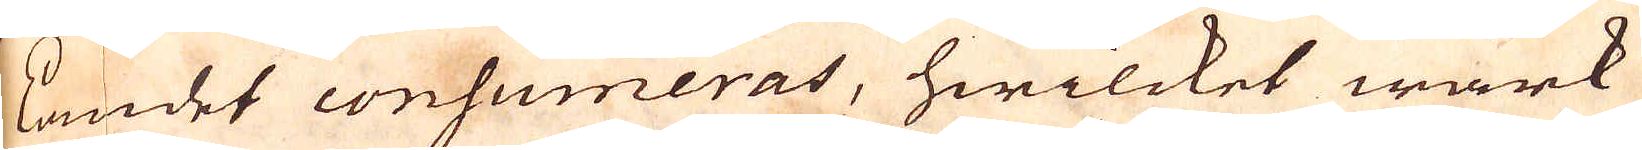landet consumeras, hwilcket wärk
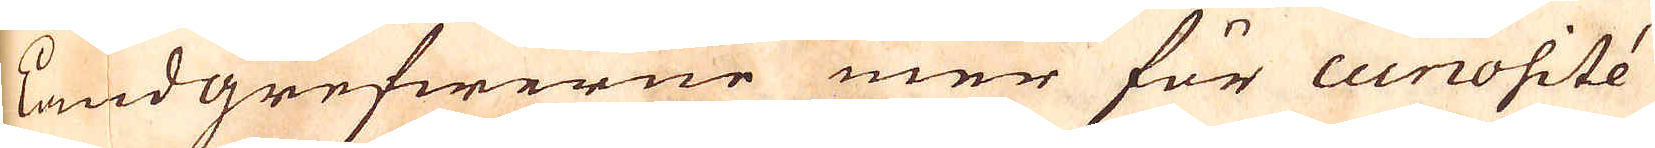landgrefwerne mer för cunosité
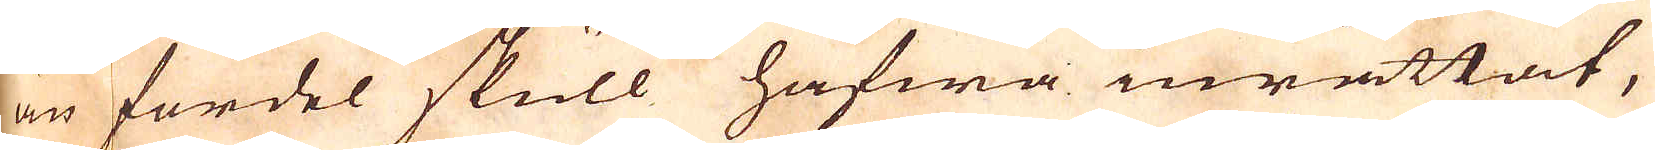än fördel skull hafwa inrättat,
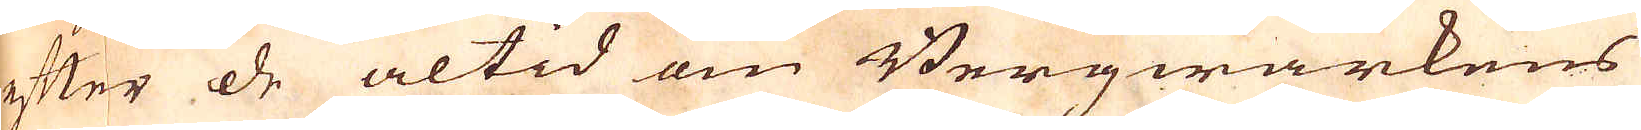efter de altid om Bergwärkens
